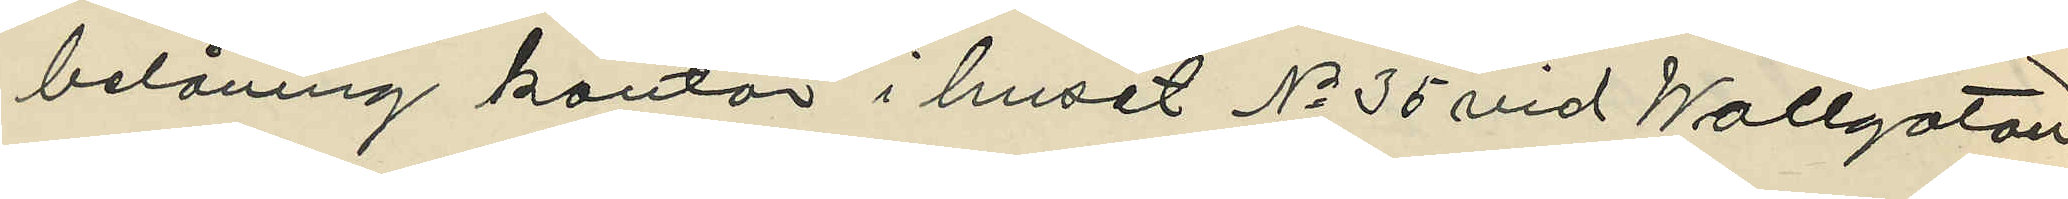belåning kontor i huset No 35 vid Wallgatan
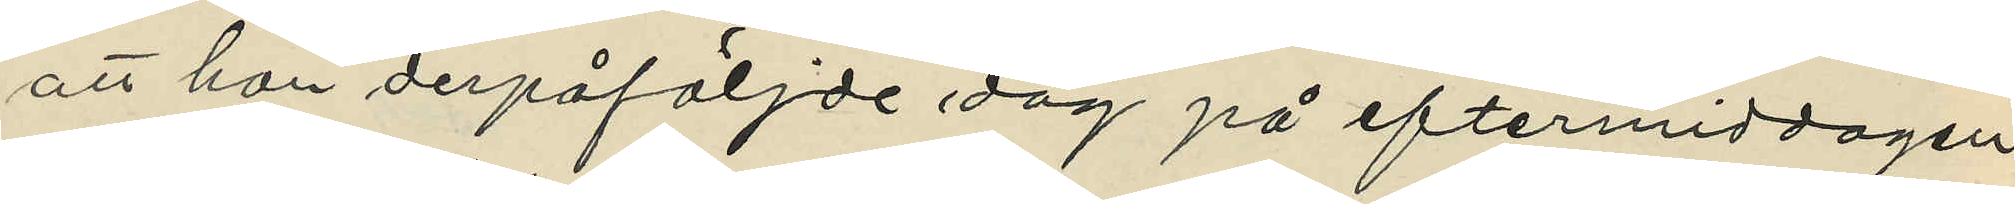att han derpåföljde dag på eftermiddagen
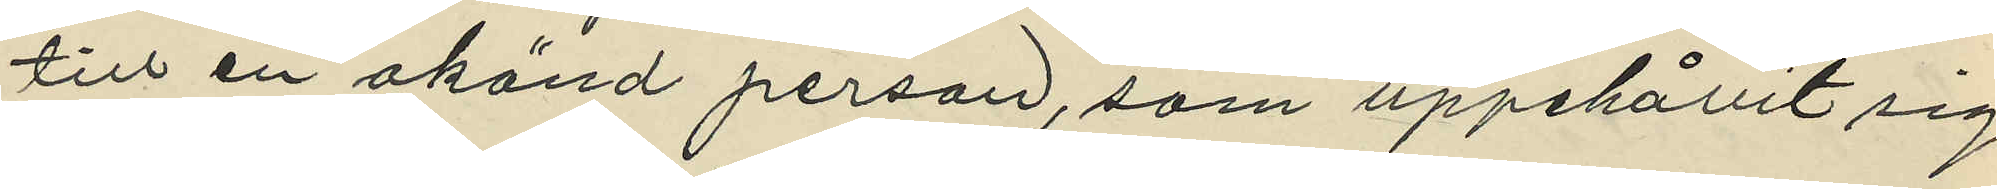till en okänd person, som uppehållit sig
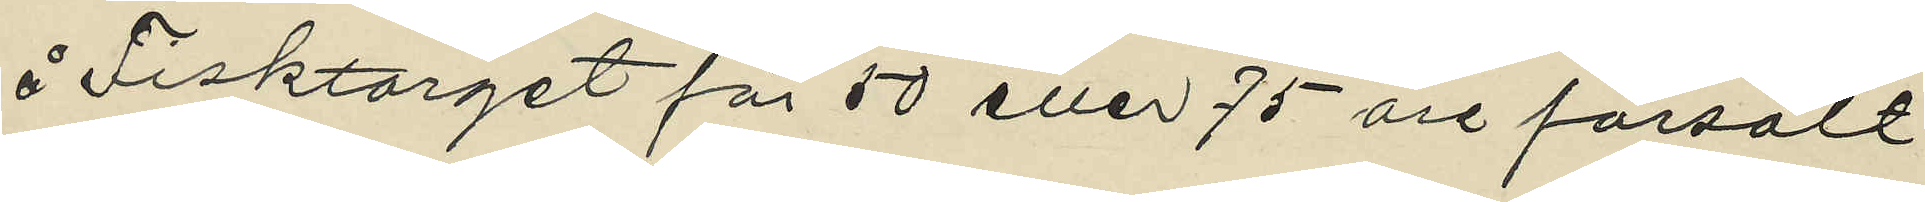å Fisktorget för 50 eller 75 öre försålt
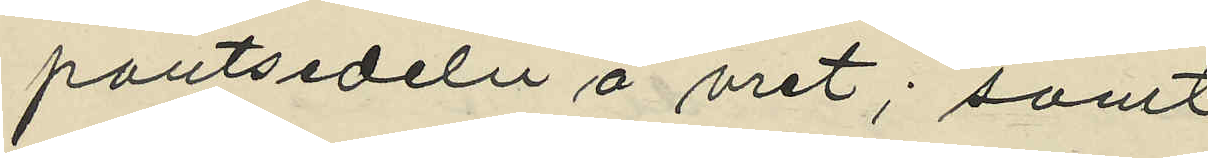pantsedeln å uret; samt
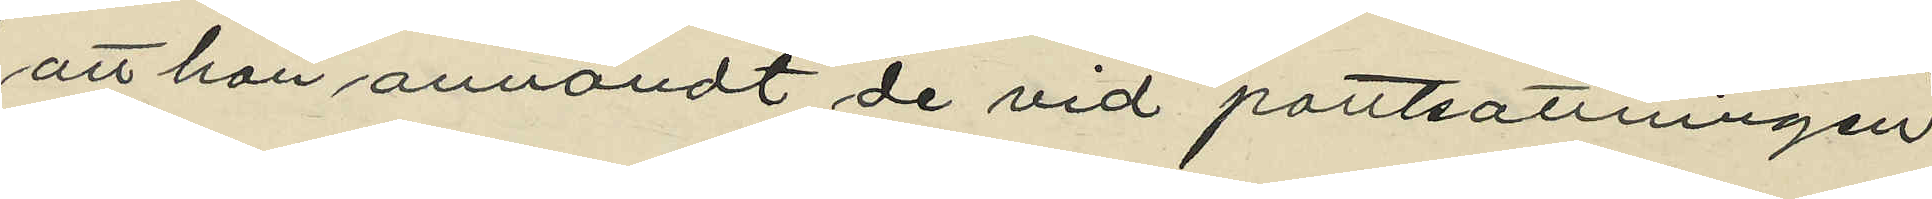att han användt de vid pantsattningen
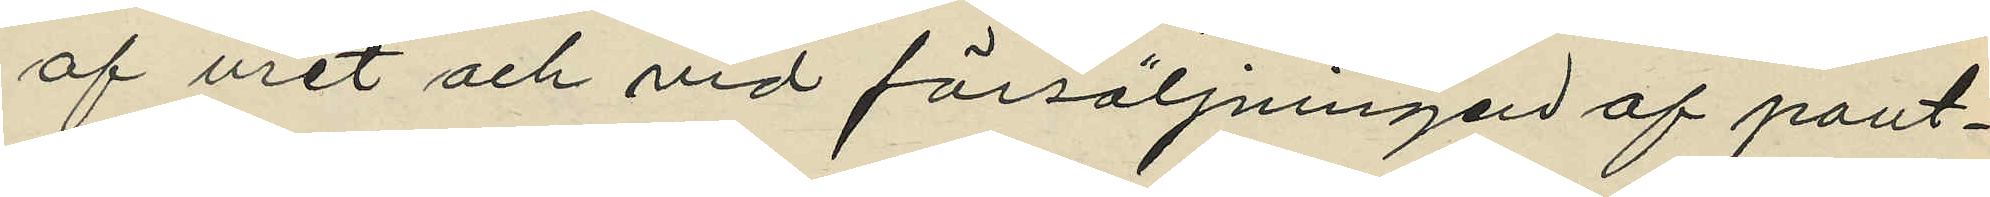af uret och vid försäljningen af pant¬
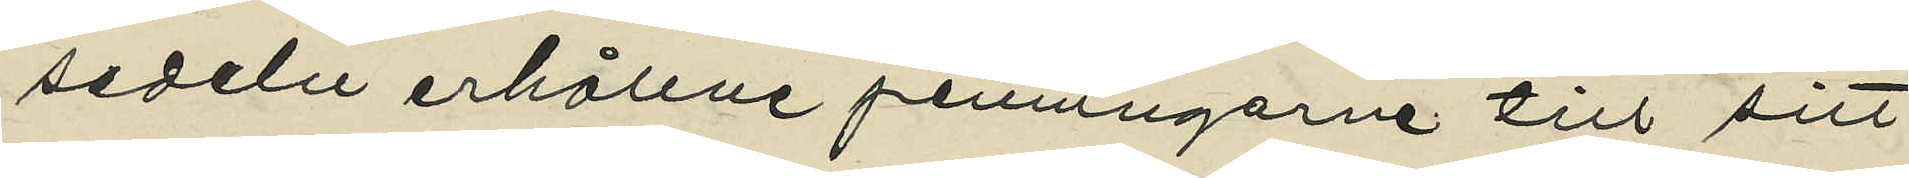sedeln erhållne penningarne till sitt
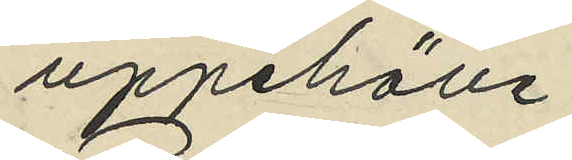uppehälle.
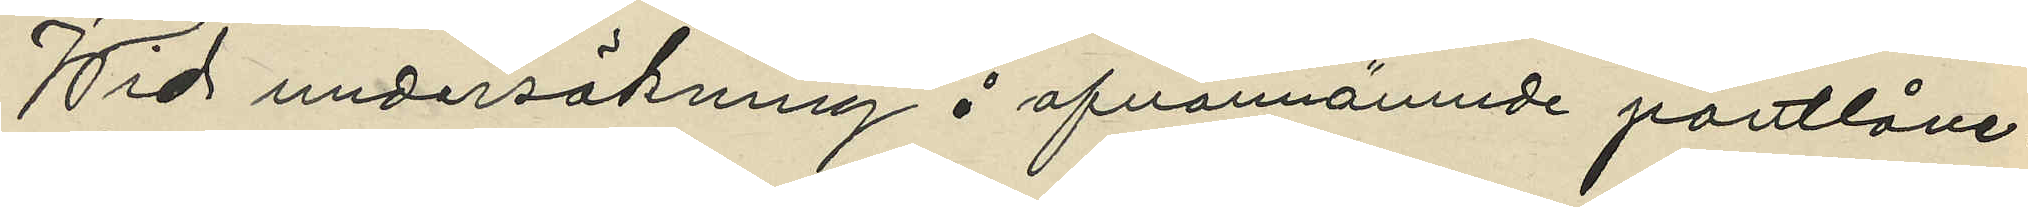Wid undersökning å ofvannämnde pantlåne¬
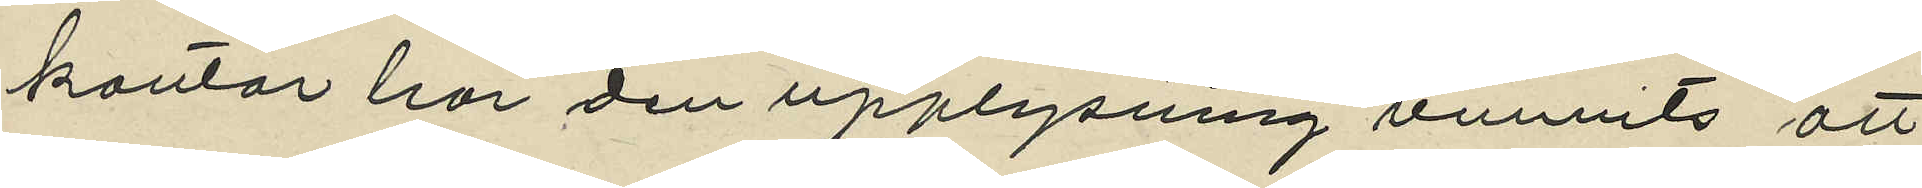kontor har den upplysning vunnits att
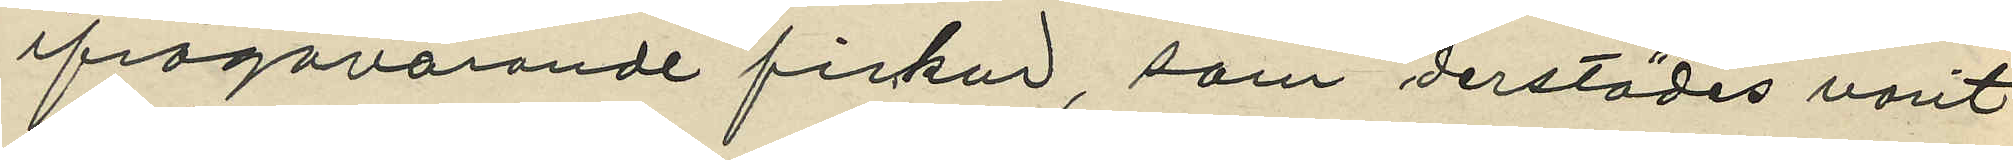ifrågavarande fickur, som derstädes varit
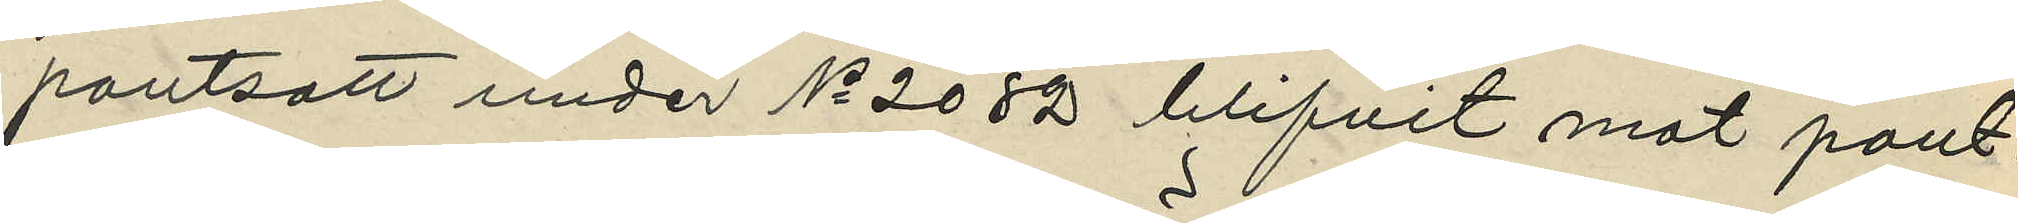pantsatt under No 2082 blifvit mot pant¬
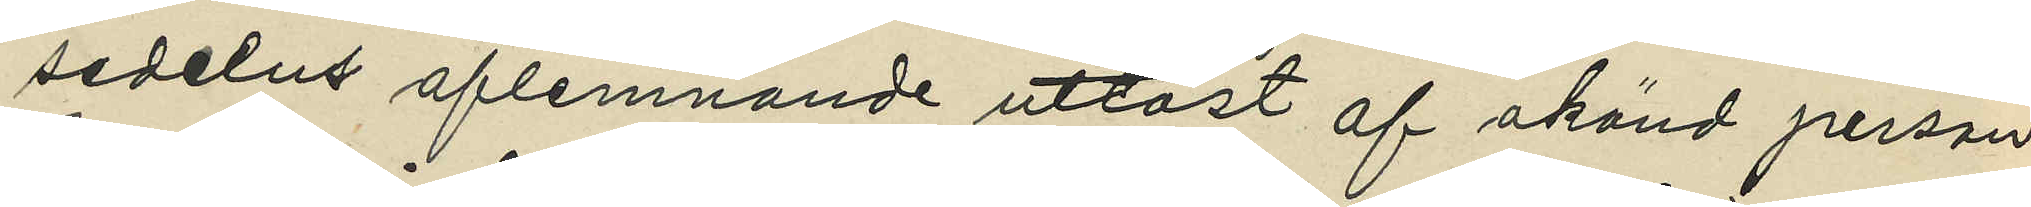sedelns aflemnande utlöst af okänd person
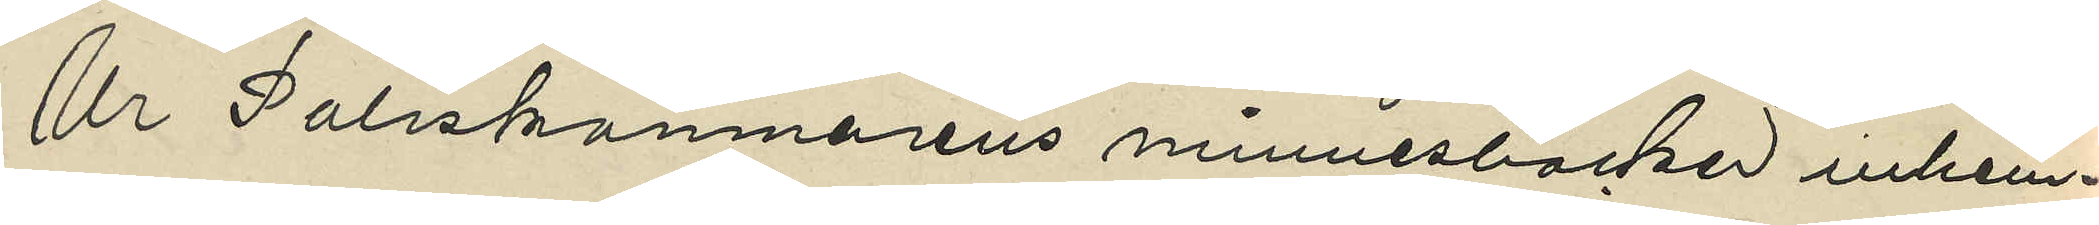Ur Poliskamnarens minnesböcker inhem¬
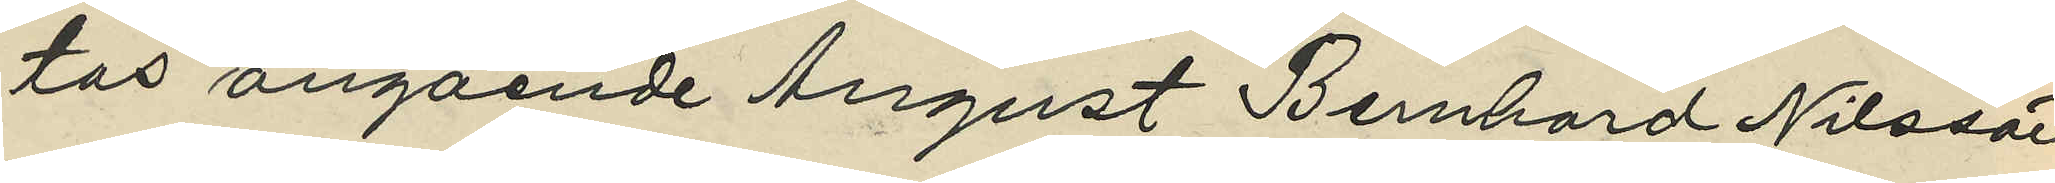tas angående August Bernhard Nilsson
